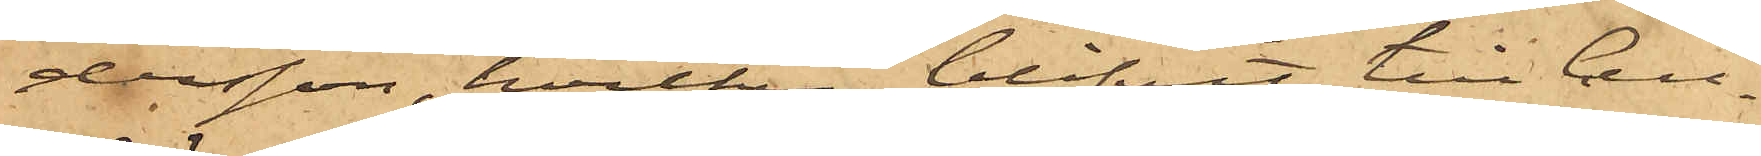dersson, hvilken blifvit till Cell¬
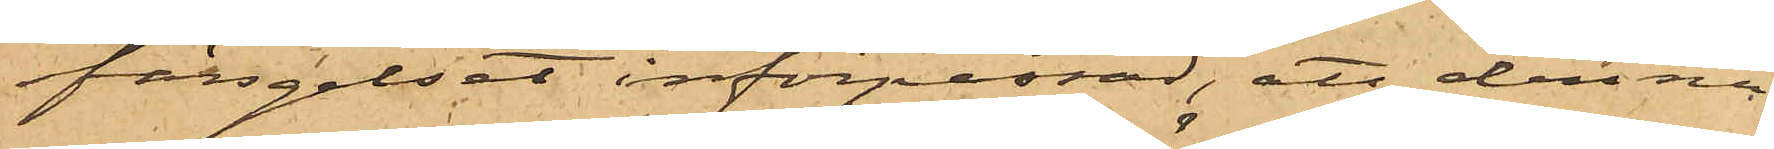fängelset införpassad, att denna
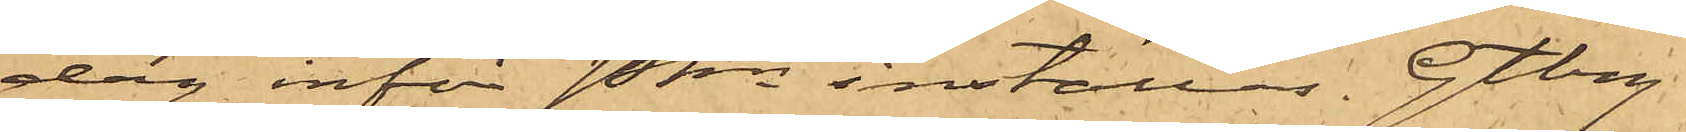dag inför Pkn inställas. Gtbg
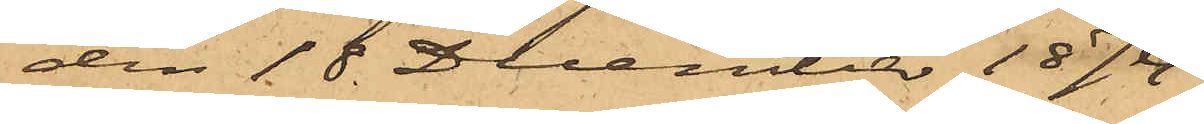den 18 December 1874
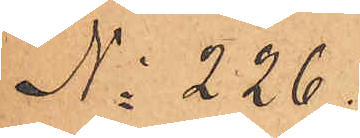No 226
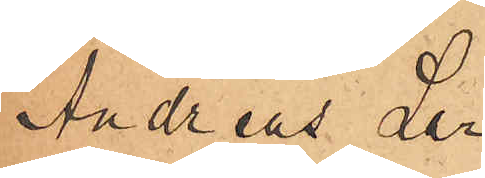Andreas Lar¬
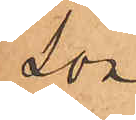son
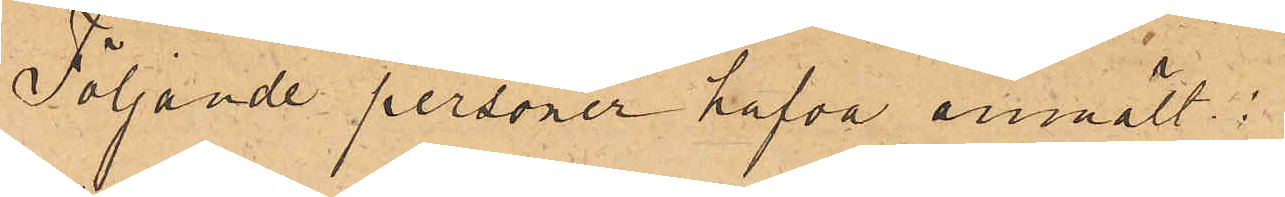Följande personer hafva anmält:
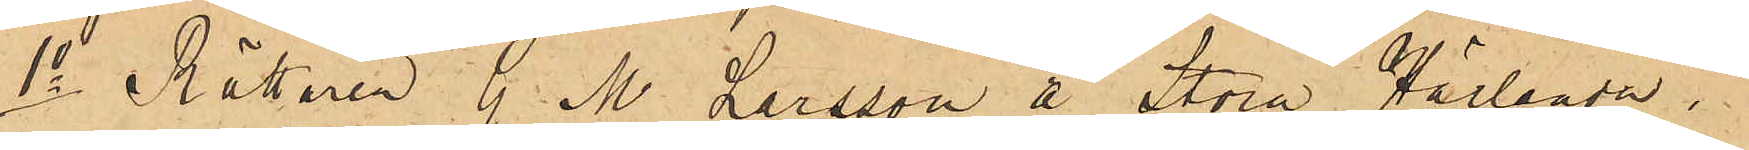1o Rättaren G. M. Larsson å Stora Härlanda i
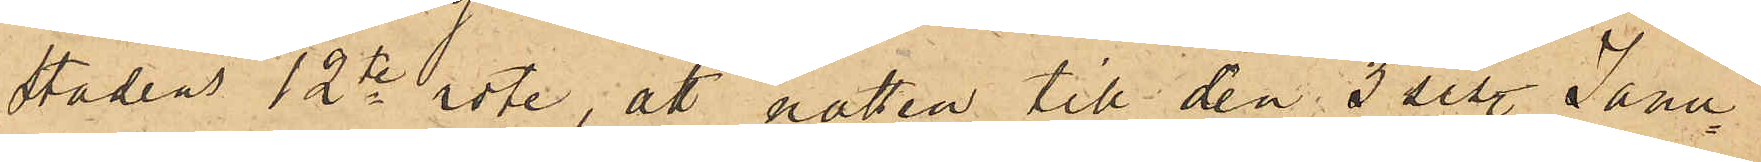Stadens 12te rote, att natten till den 3 sist. Janu¬
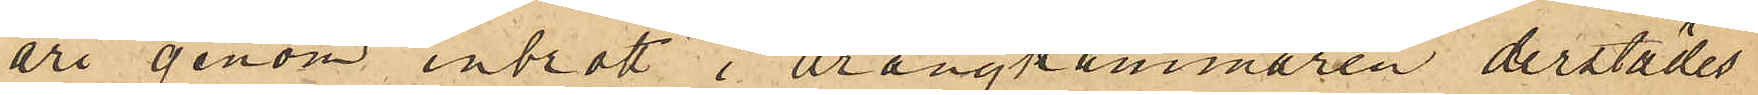ari genom inbrott i drängkammaren derstädes
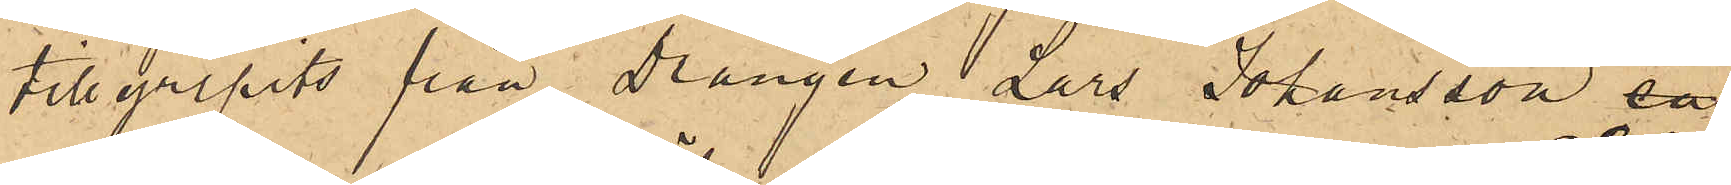tillgripits från Drängen Lars Johansson en
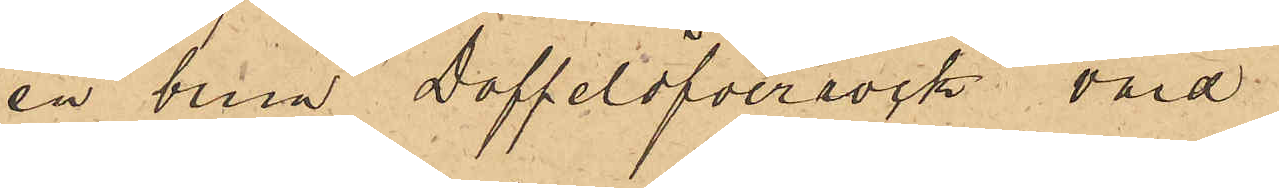en brun Doffelöfverrock värd
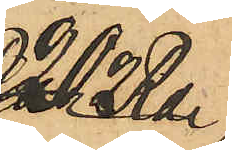20 Rdr,
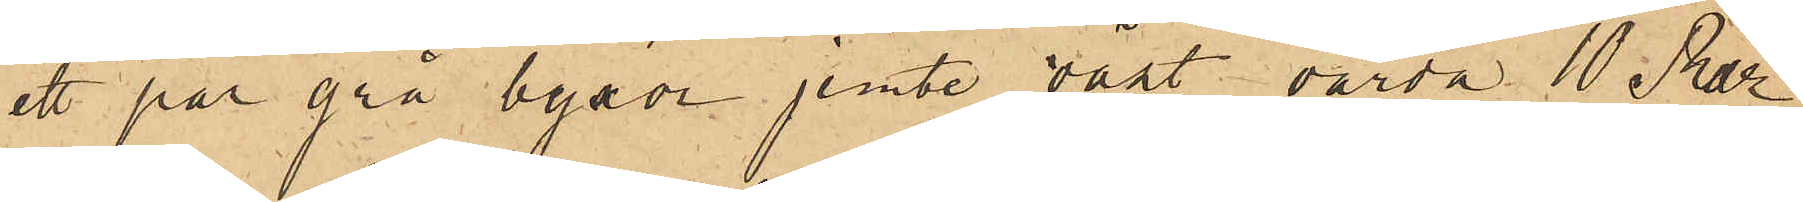ett par grå byxor jemte väst, värda 10 Rdr,
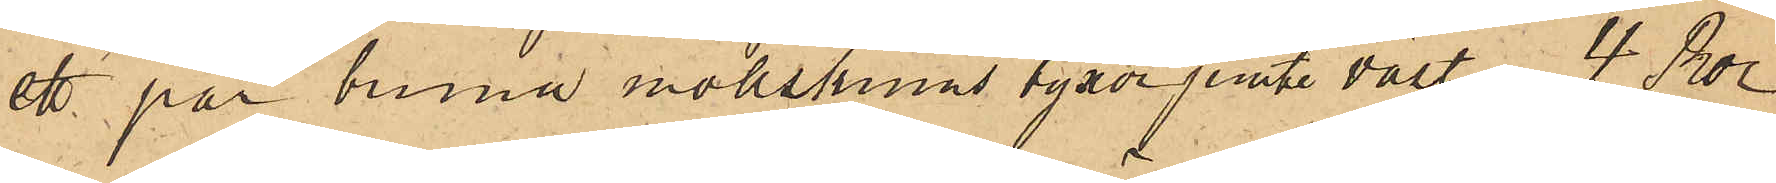ett par bruna mollskinnsbyxor jemte väst, 4 Rdr,
